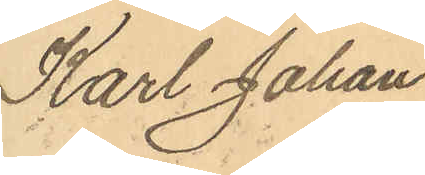Karl Johan
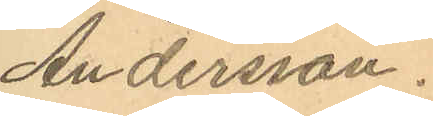Andersson.
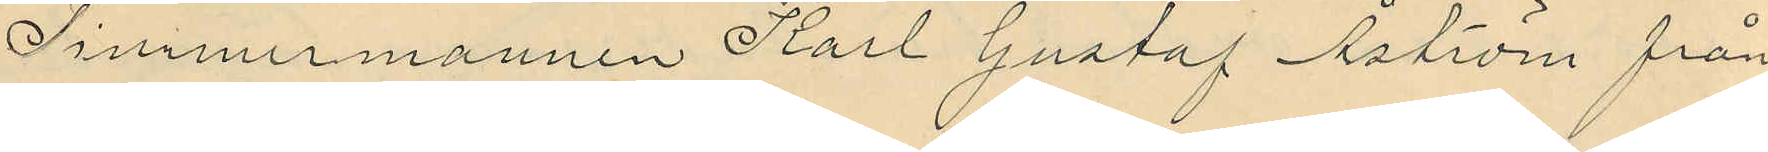Timmermannen Karl Gustaf Åström från
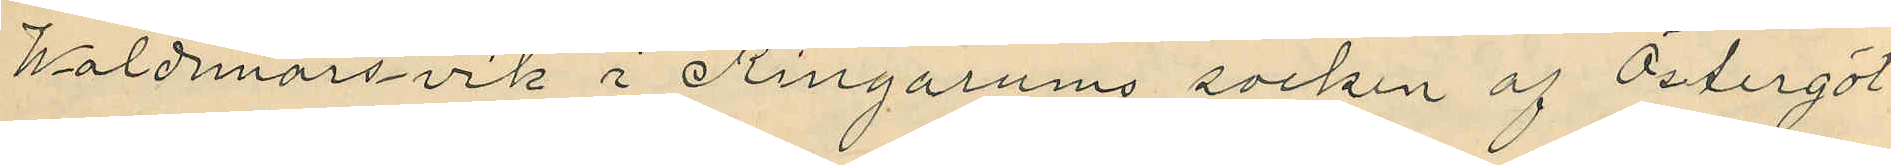Waldmarsvik i Ringarums socken af Östergöt¬
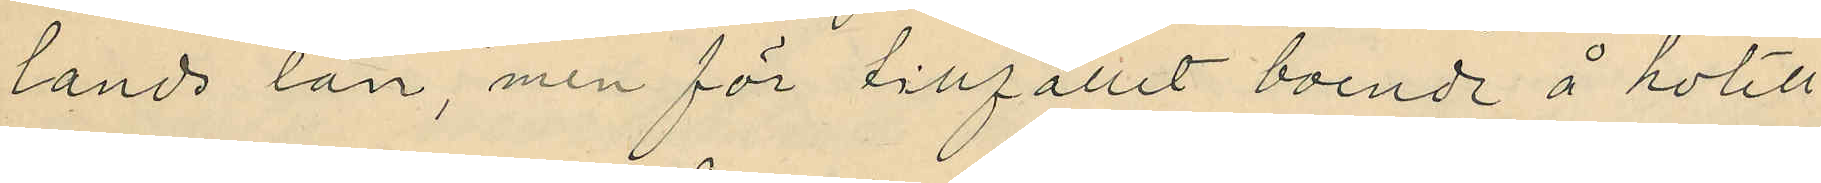lands län, men för tillfället boende å hotell
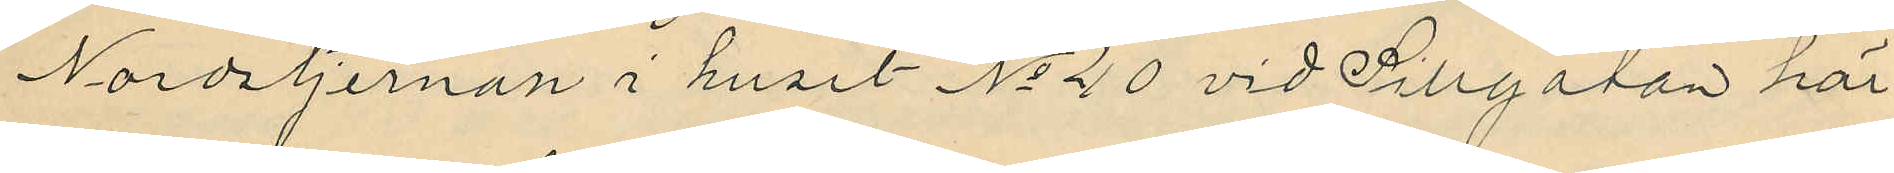Nordstjernan i huset No 40 vid Sillgatan här
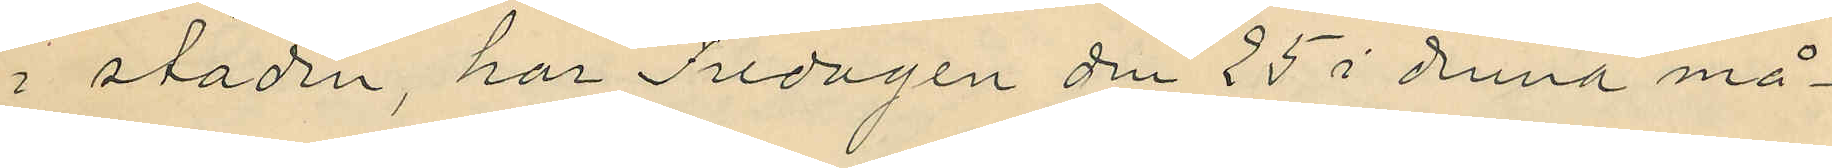i staden, har Fredagen den 25 i denna må¬
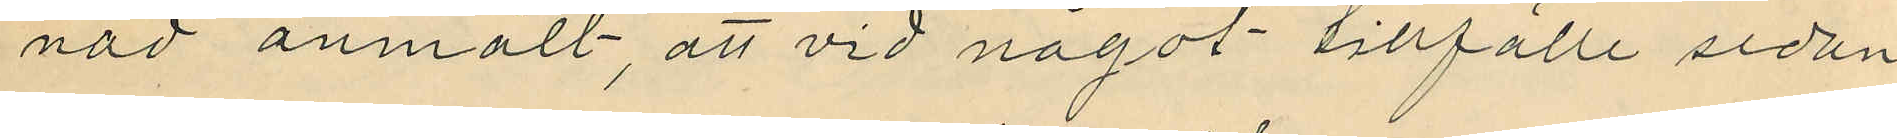nad anmält, att vid något tillfälle sedan
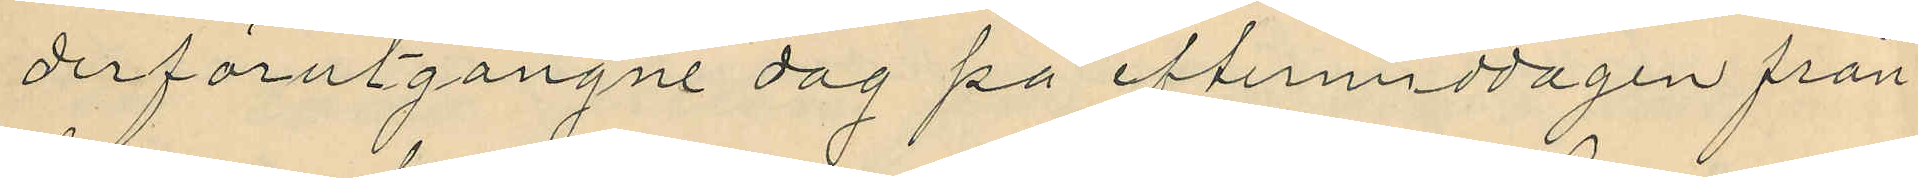derförutgångne dag på eftermiddagen från
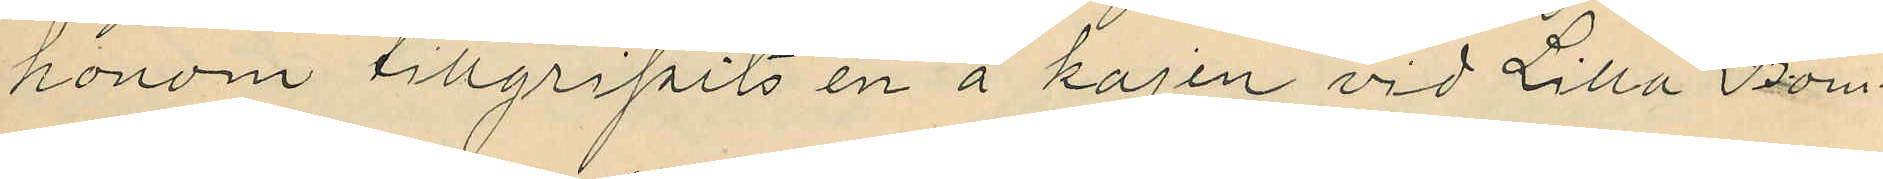honom tillgripits en å kajen vid Lilla Bom¬
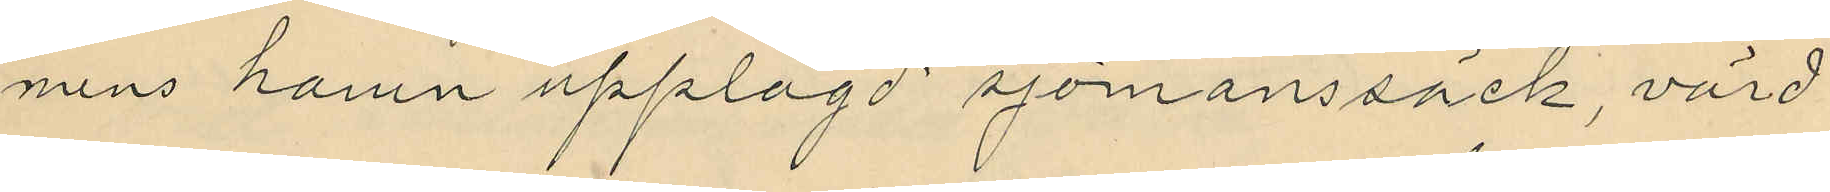mens hamn upplagd sjömanssäck, värd
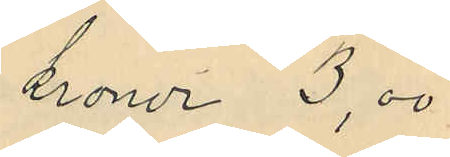kronor 3,00
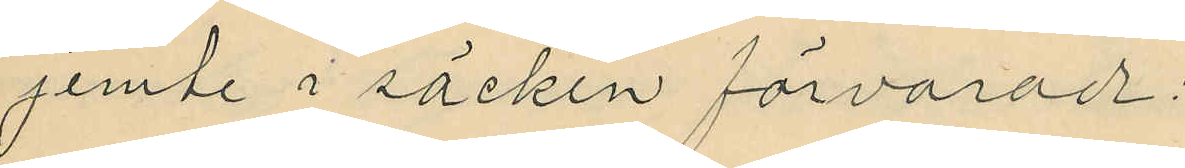jemte i säcken förvarade;
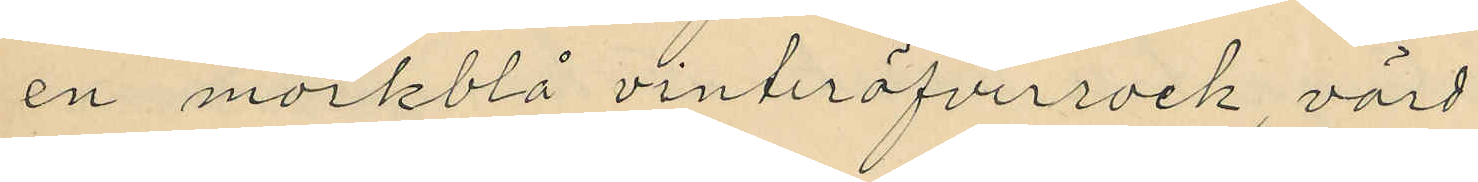en mörkblå vinteröfverrock värd
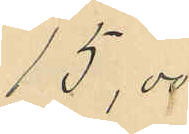15,00
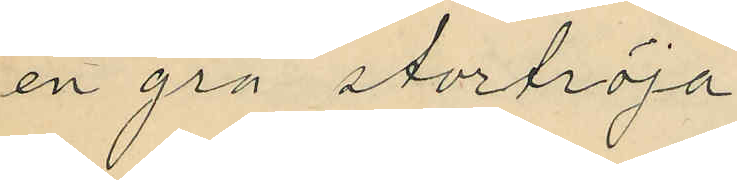en grå stortröja
